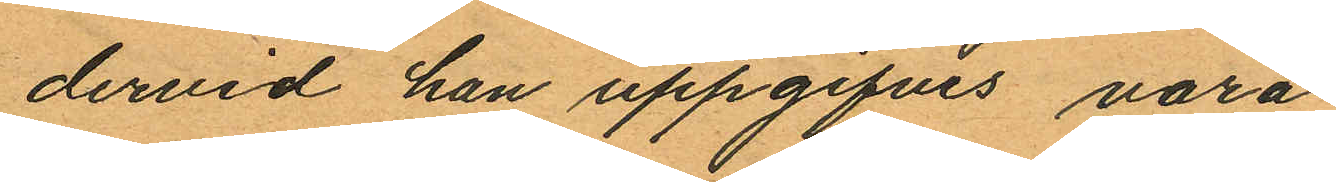dervid han uppgifves vara
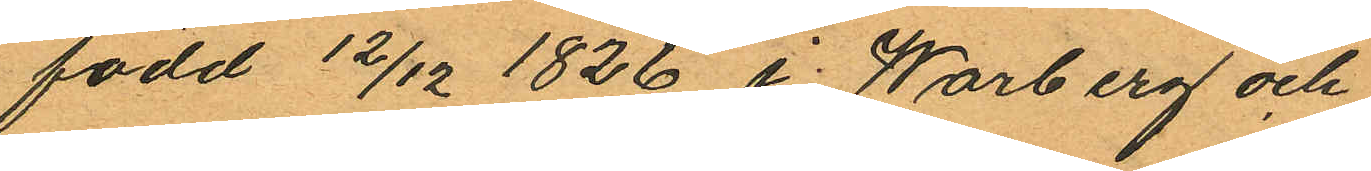född 12/12 1826 i Warberg och
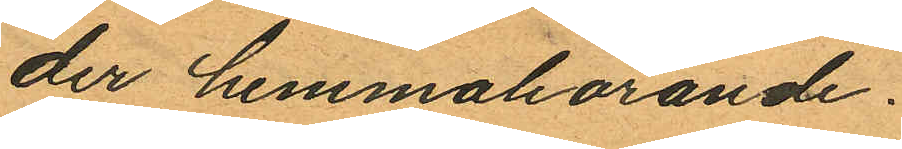der hemmahörande.
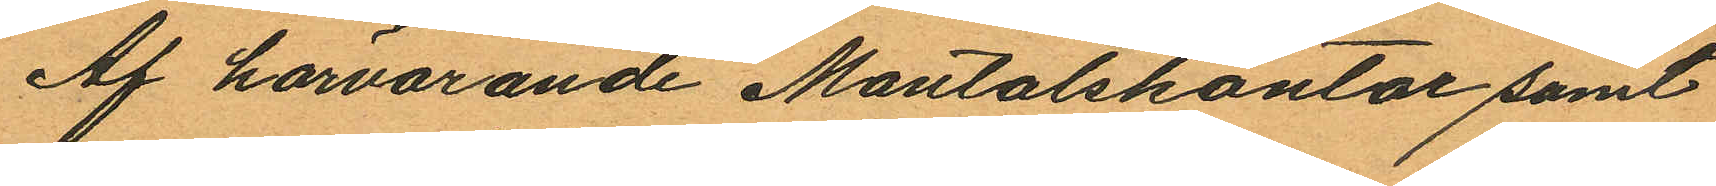Af härvarande Mantalskontor samt
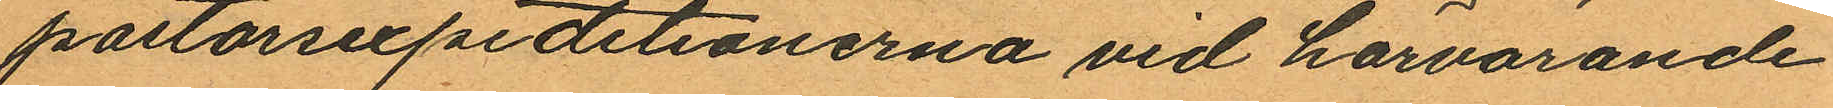pastorrexpeditionerna vid härvarande
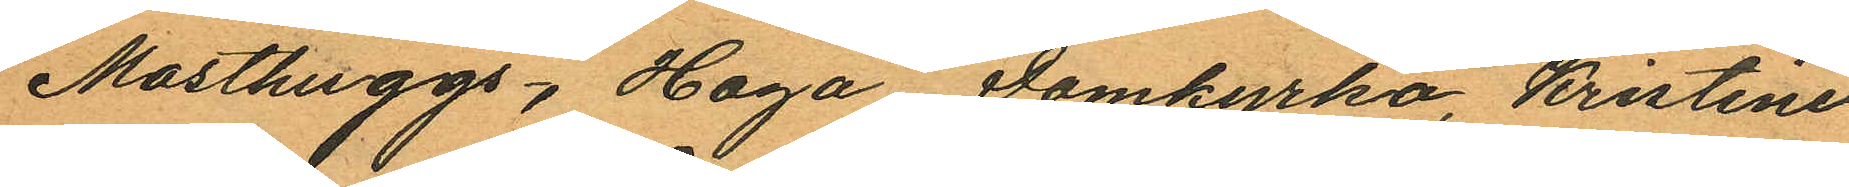Masthuggs, Haga, Domkyrko, Kristine
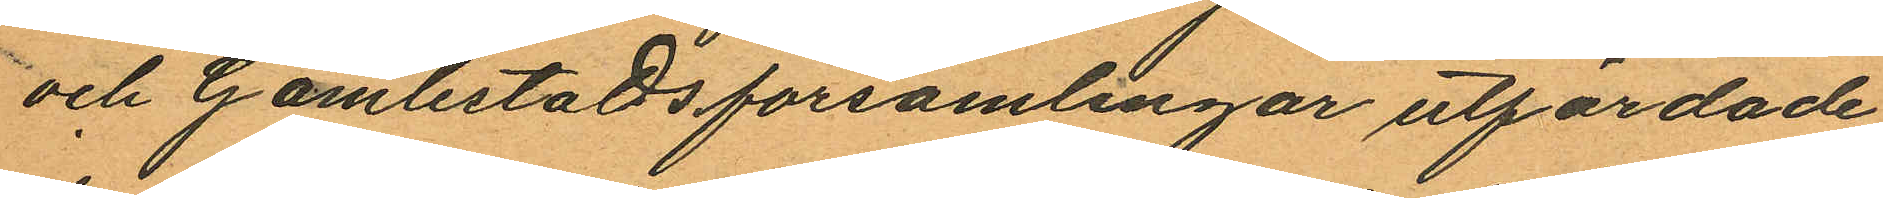och Gamlestads församlingar utfärdade
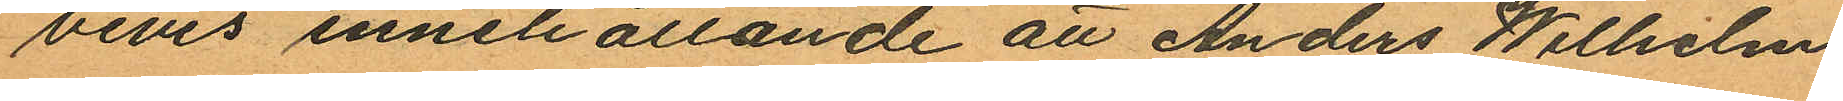bevis innehållande att Anders Wilhelm
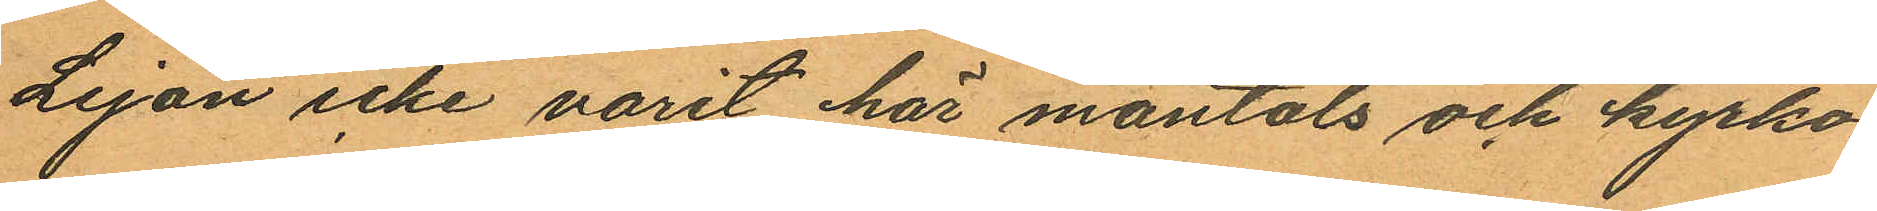Lejon icke varit här mantals och kyrko¬
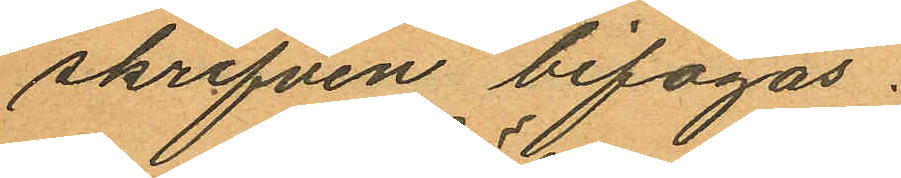skrifven bifogas.
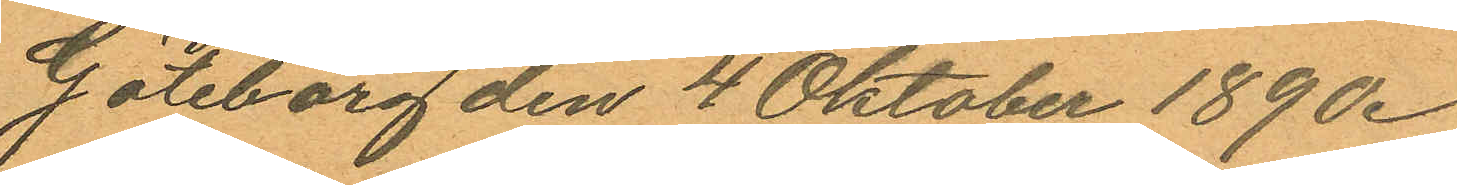Göteborg den 4 Oktober 1890.
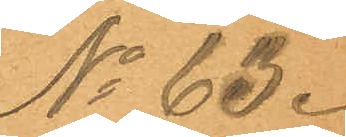No 63.
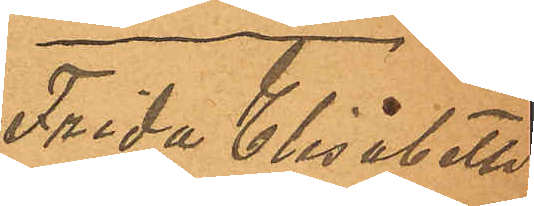Frida Elisabeth
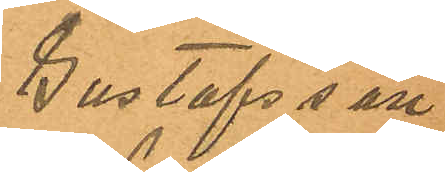Gustafsson
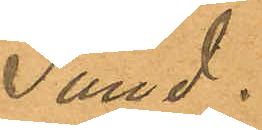Sund.
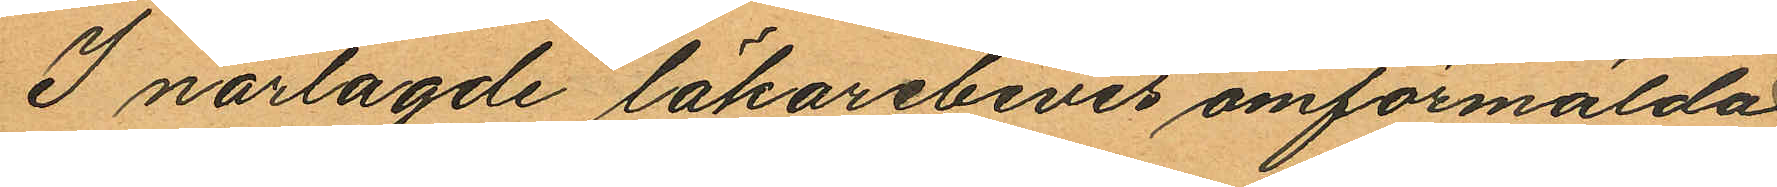I närlagde läkarebevis omförmälda
